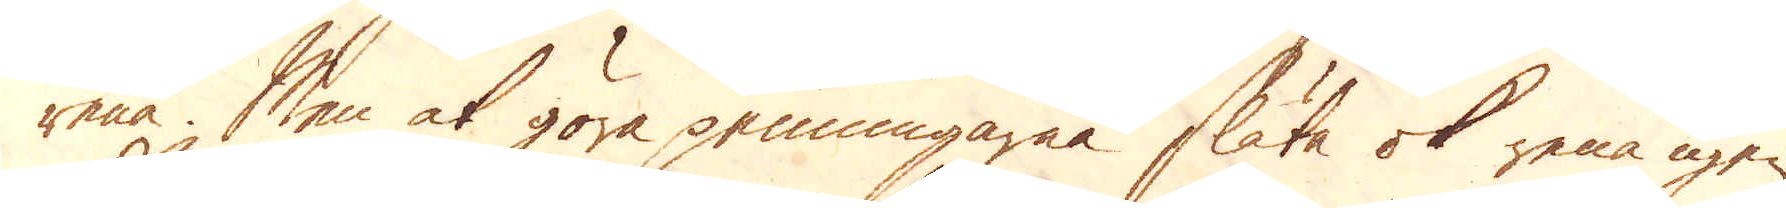rena. Men at göra penningarna släta ok rena igen
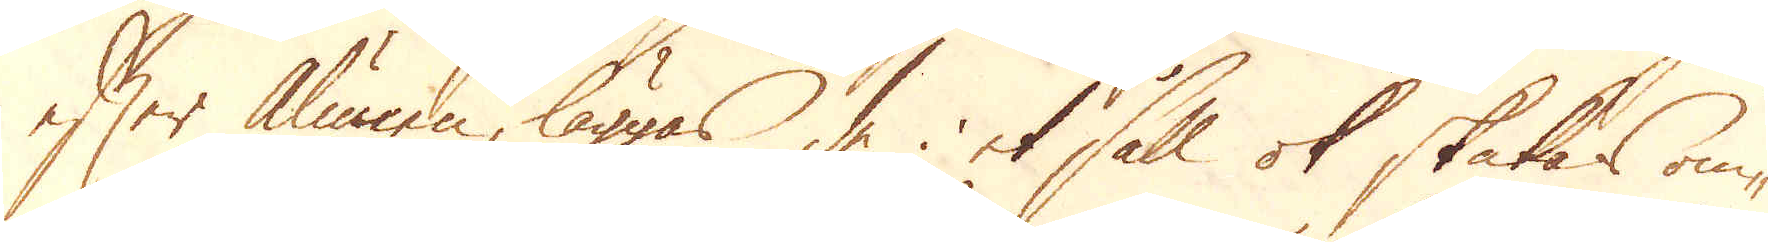efter Alunen, läggas de i et såll ok skalas om-
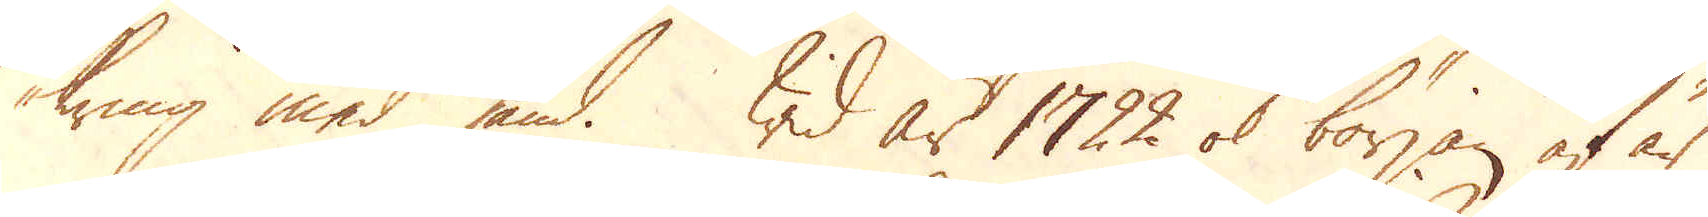kring med sand. Wid år 1722 ok början af år
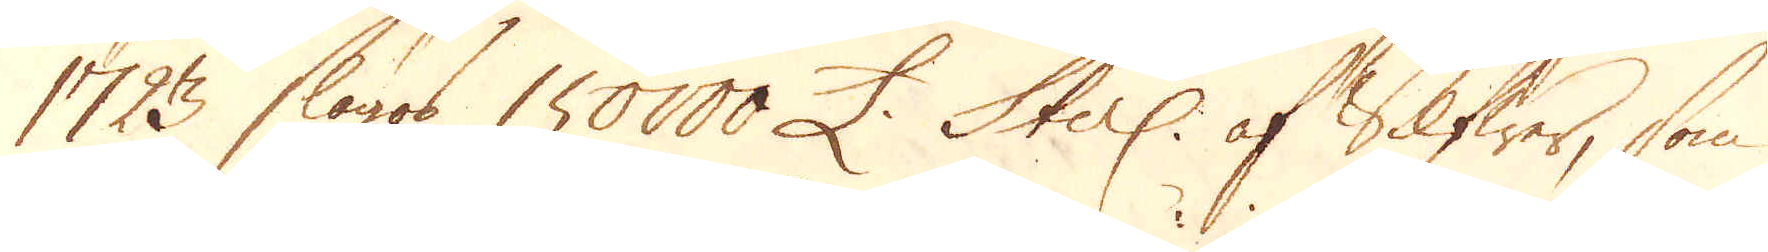1723 slogos 150000 £. Sterl: af Silfwer, som
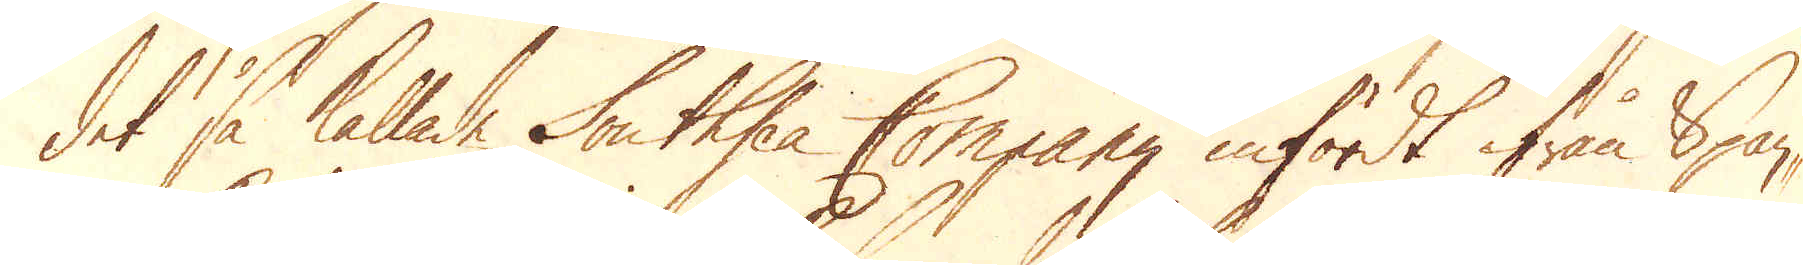det så kallade Southsea Company infördt ifrån Span-
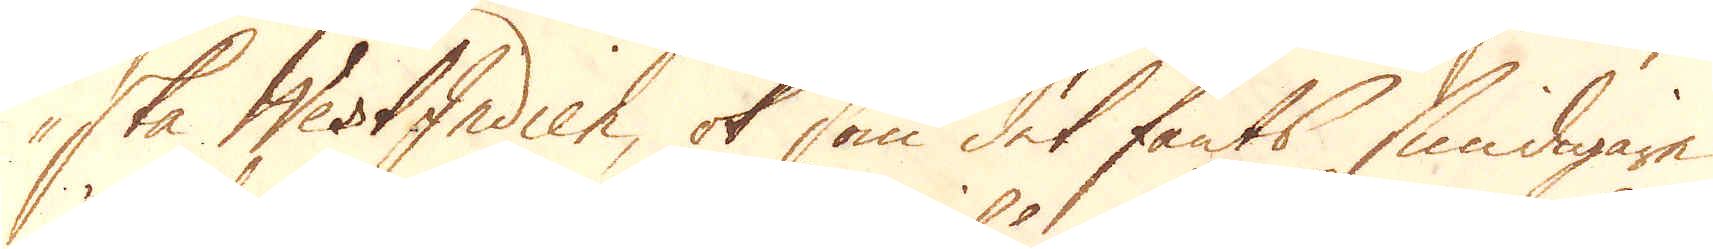ska WestIndien, ok som det fants smidigare
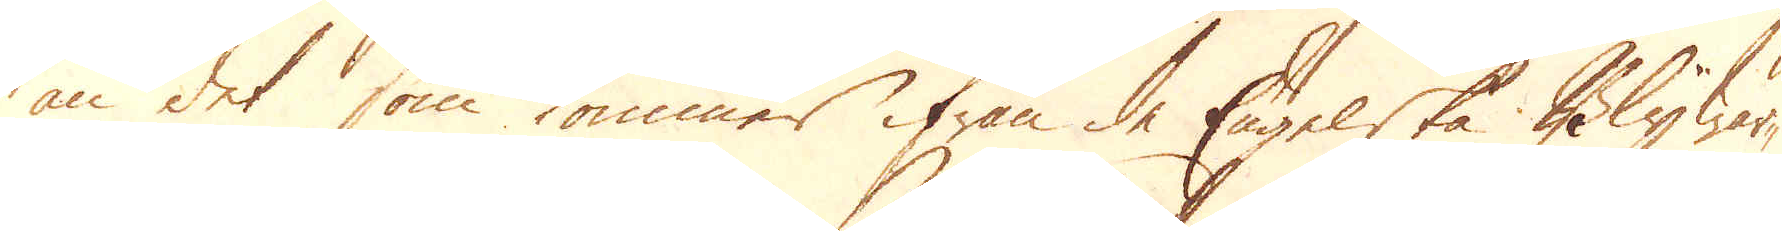än det som kommer ifrån de Engelske Bly wär-
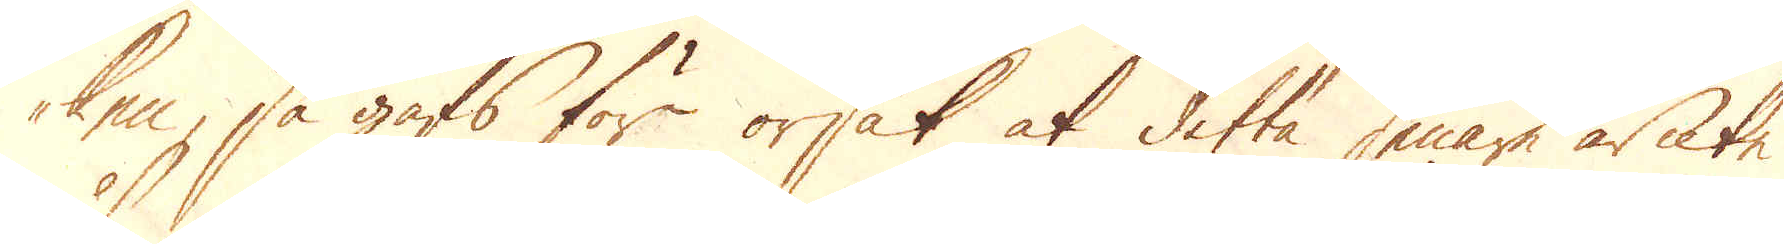ken, så gafs för orsak at detta senare är icke
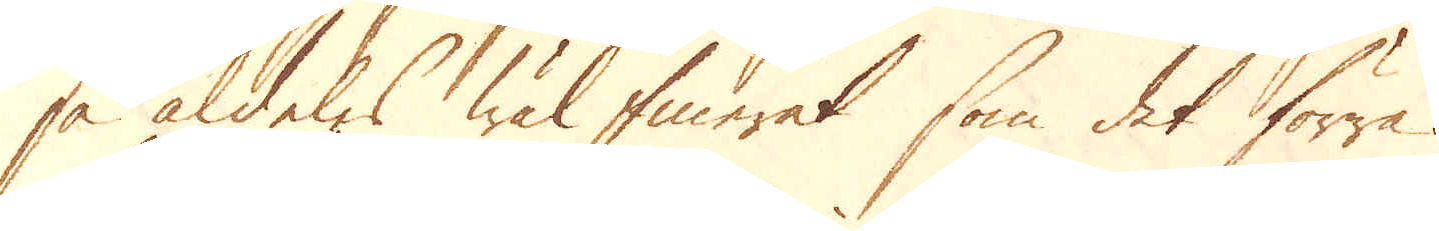så aldeles wäl finerat som det förra.
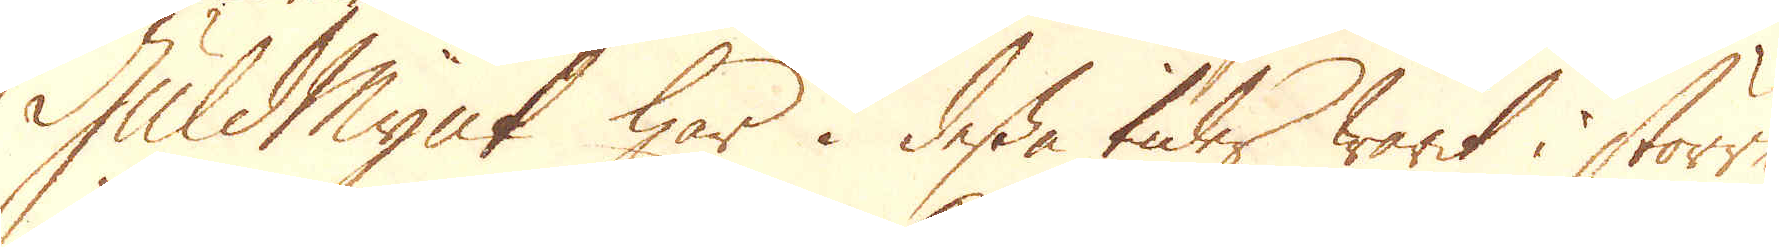Guldmynt har i dessa tider warit i större
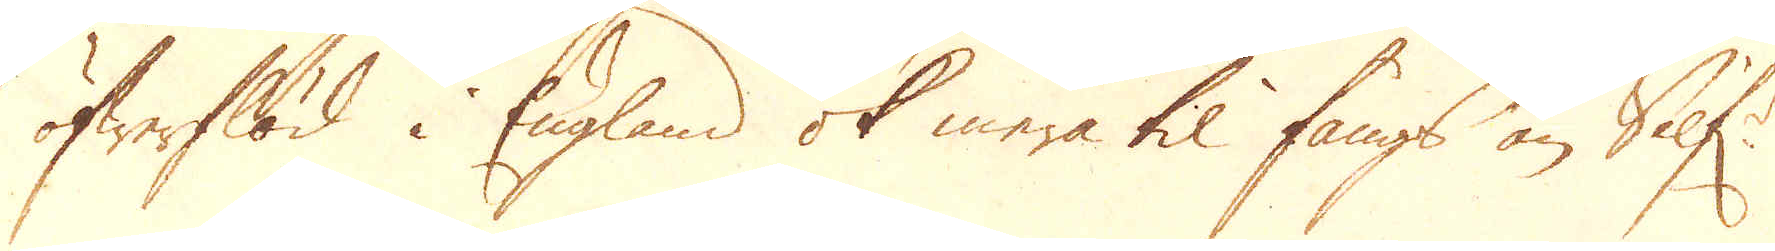öfwerflöd i England ok mera til fångs än Silf:r
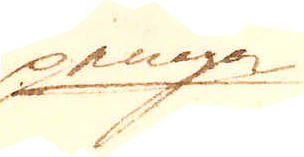penga
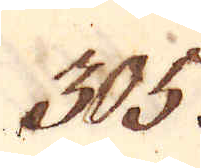305.
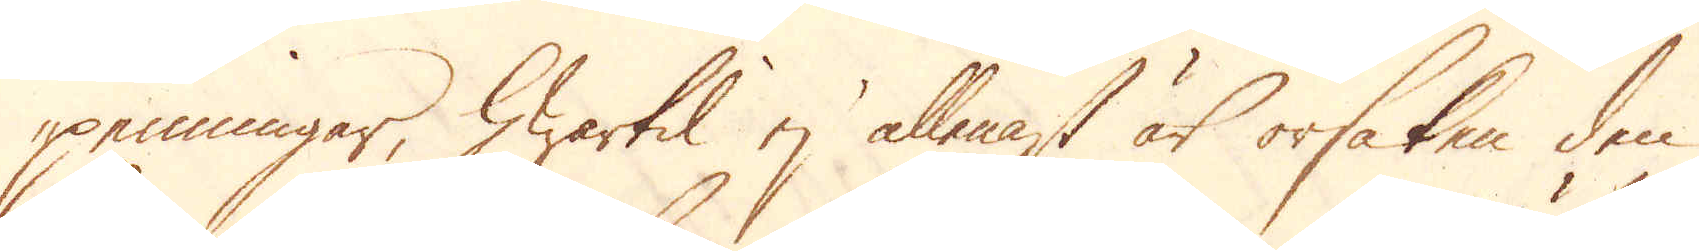penningar, hwartil ej allenast är orsaken den
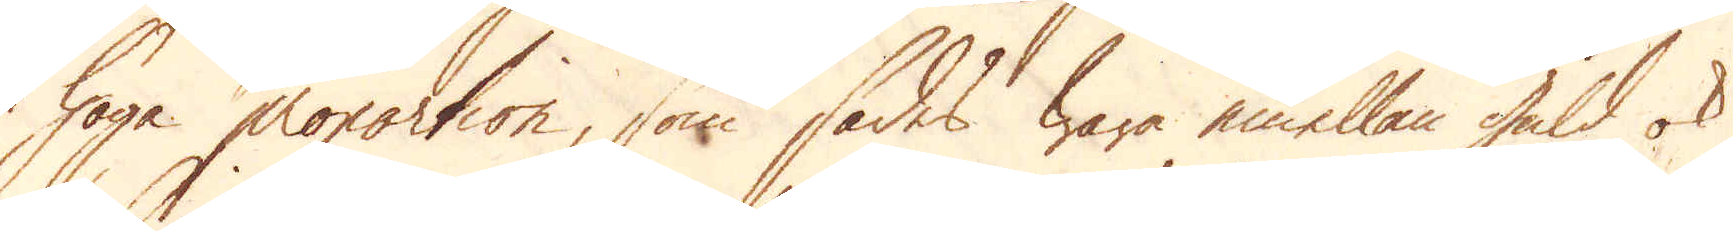höga proportion, som sades wara emellan guld ok
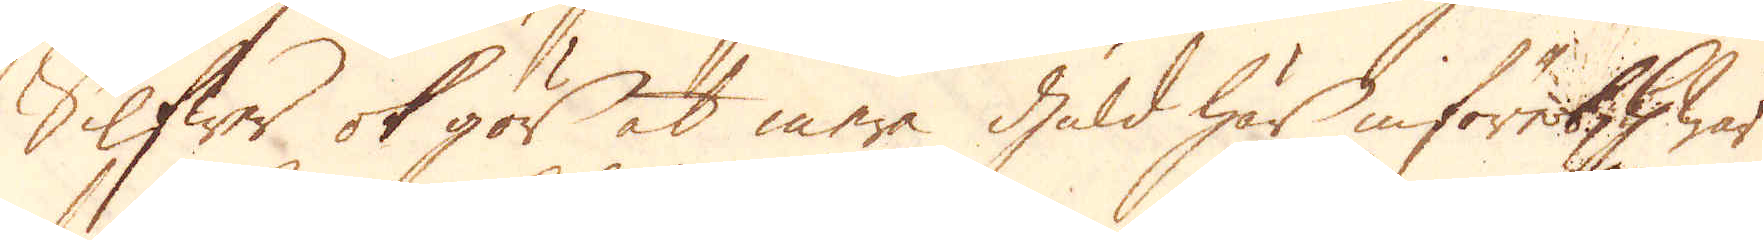Silfwer ok gör at mera guld här införes, hwar
